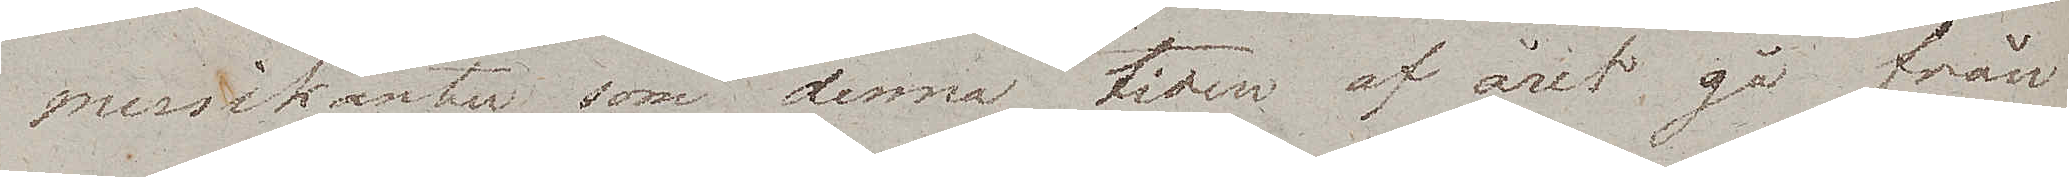musikanter som denna tiden af året gå från
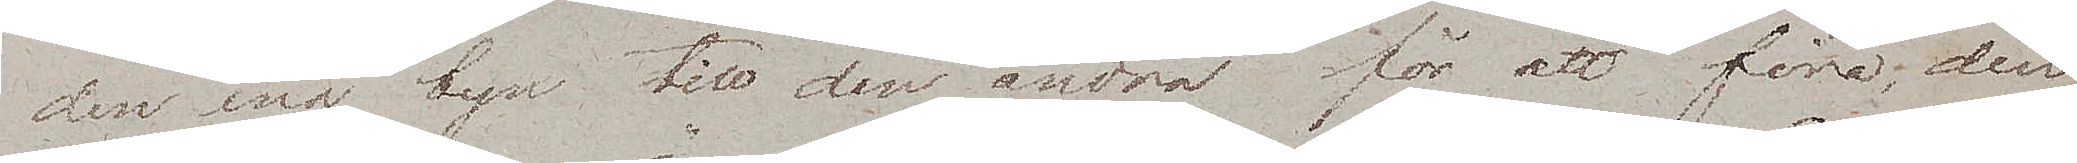den ena byn till den andra för att fira;  den
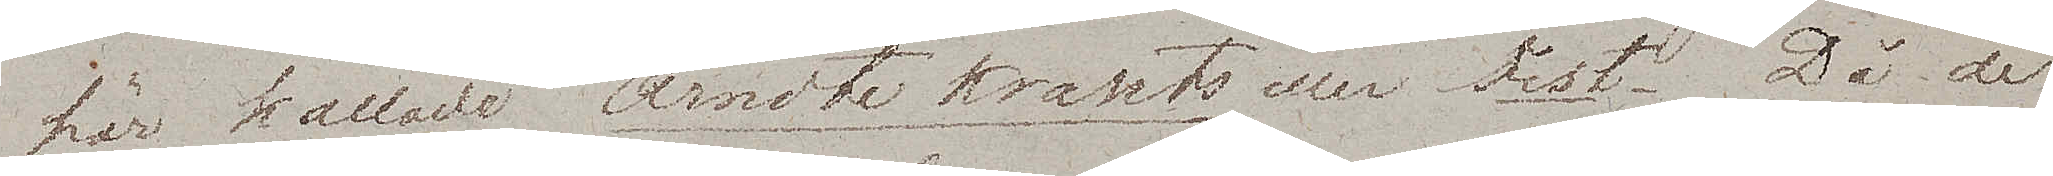här kallade Ärndte Krants eller Fest. Då de
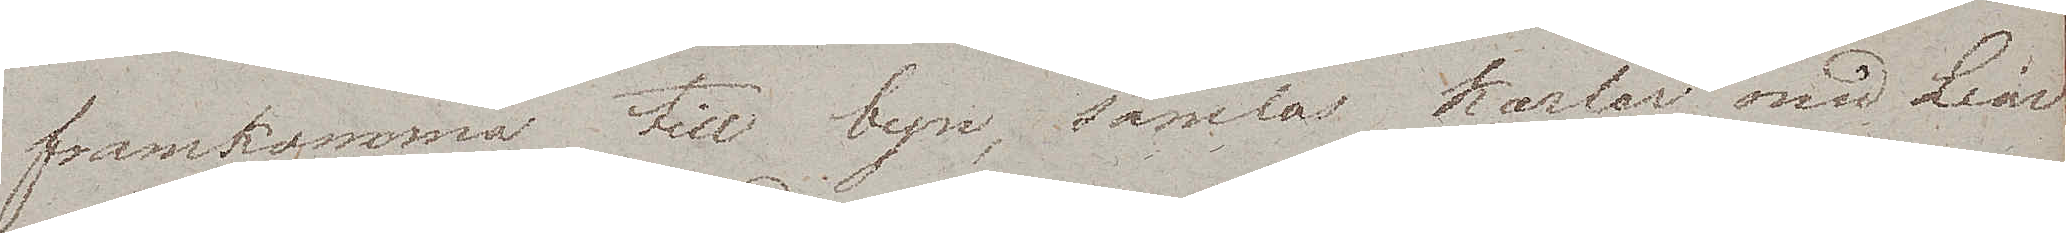framkomma till byn, samlas Karlar med Liar
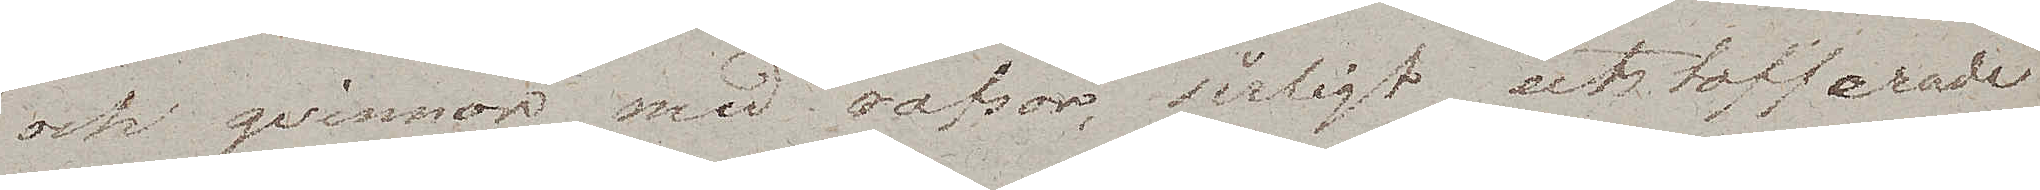och qvinnor med rafsor, sirligt utstofferade
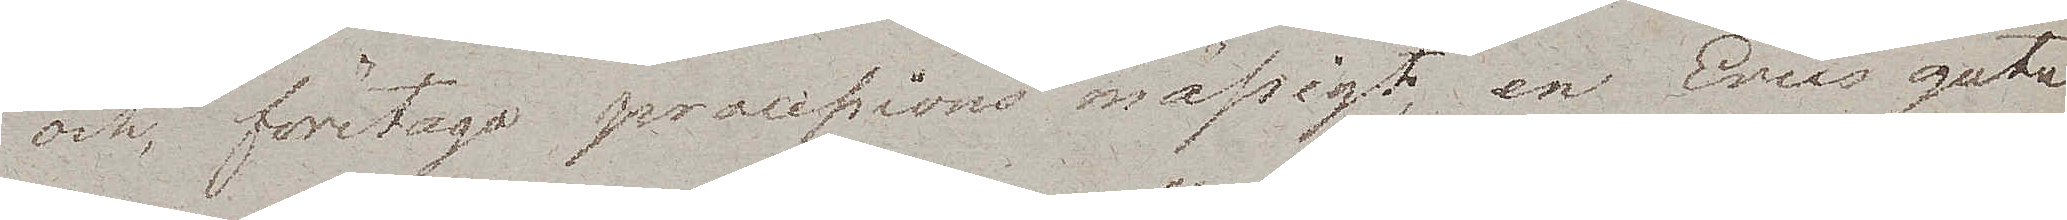och, företaga processions mässigt, en Erics gata
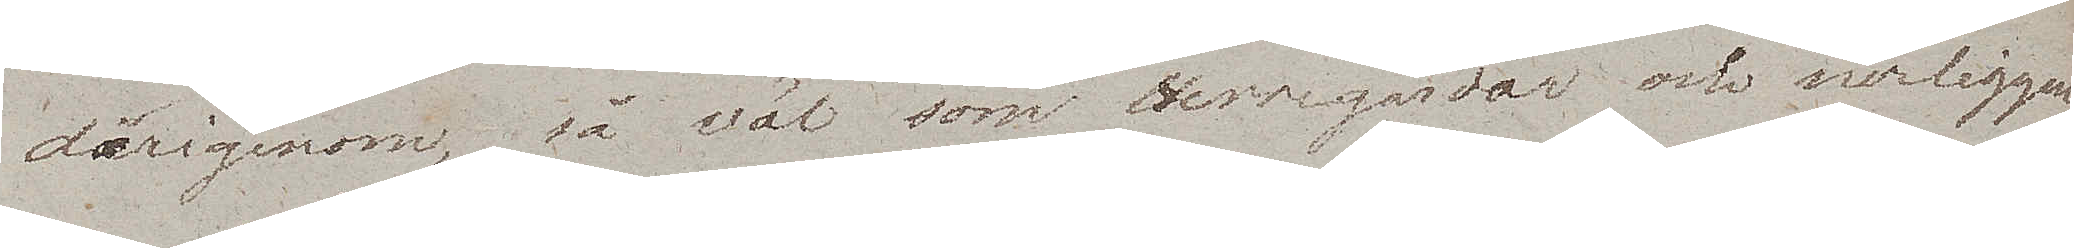därigenom, så väl som Herregårdar och närliggan¬
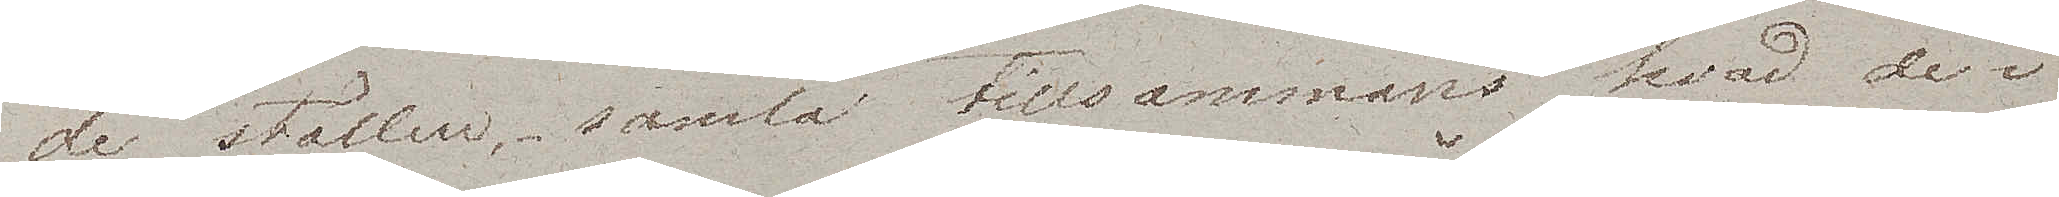de ställen, samla tillsammans hvad de i
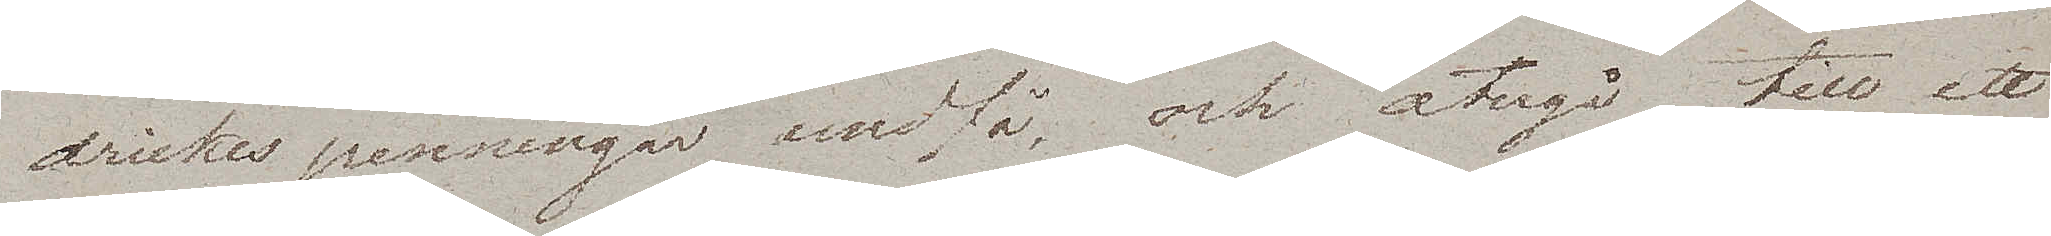drickes penningar undfå, och återgå till ett
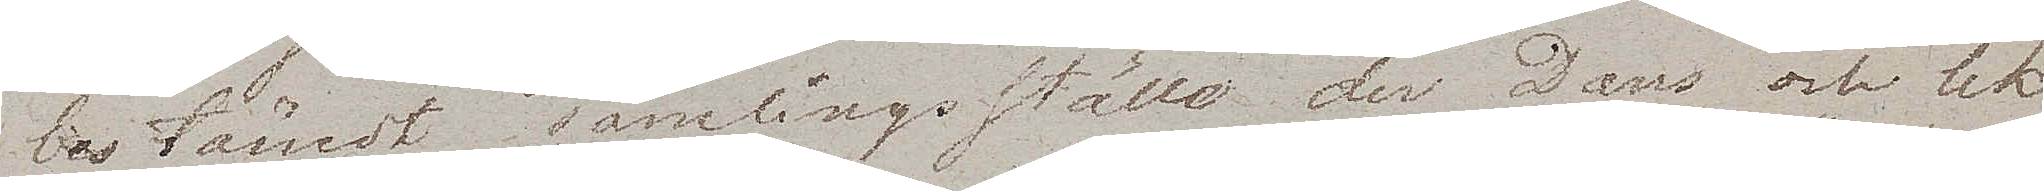bestämdt samlingsställe der Dans och lek
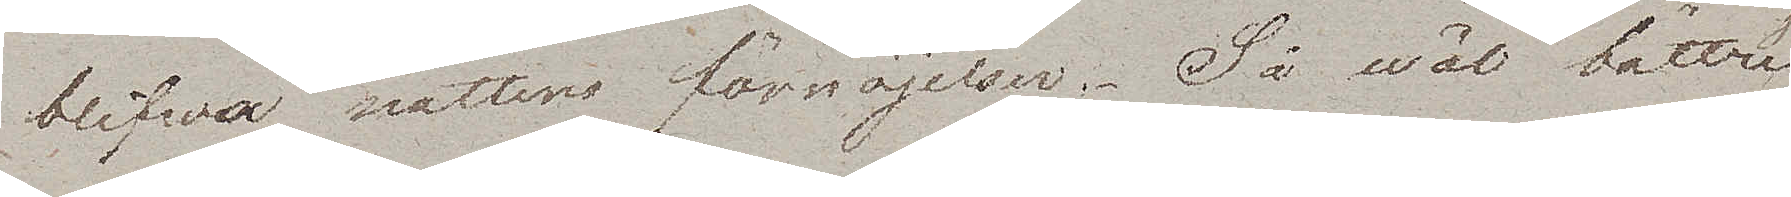blifwa nattens förnöjelser. Så wäl bättre
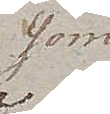som
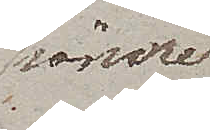sämre
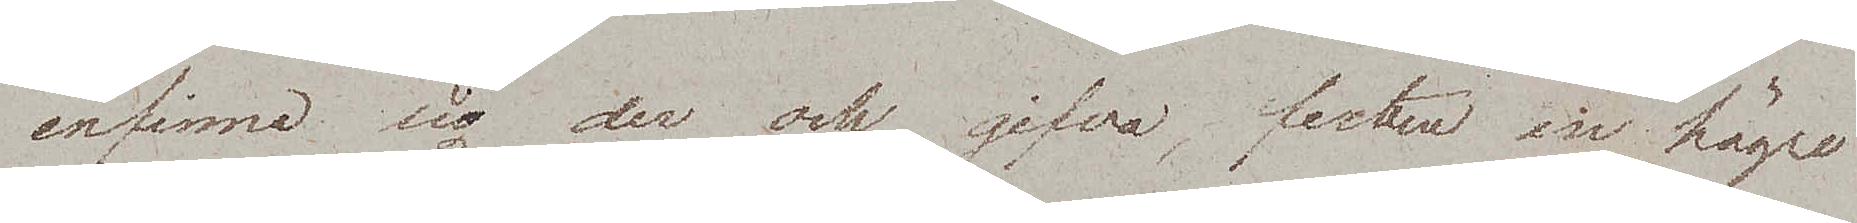infinna sig der och gifva festen en högre
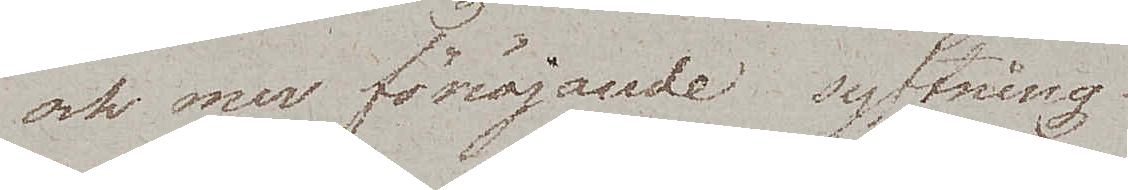och mer fönöjande syftning.
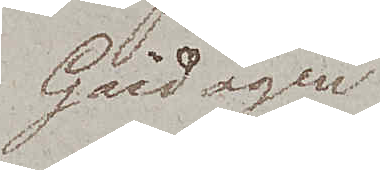Gårdagen
